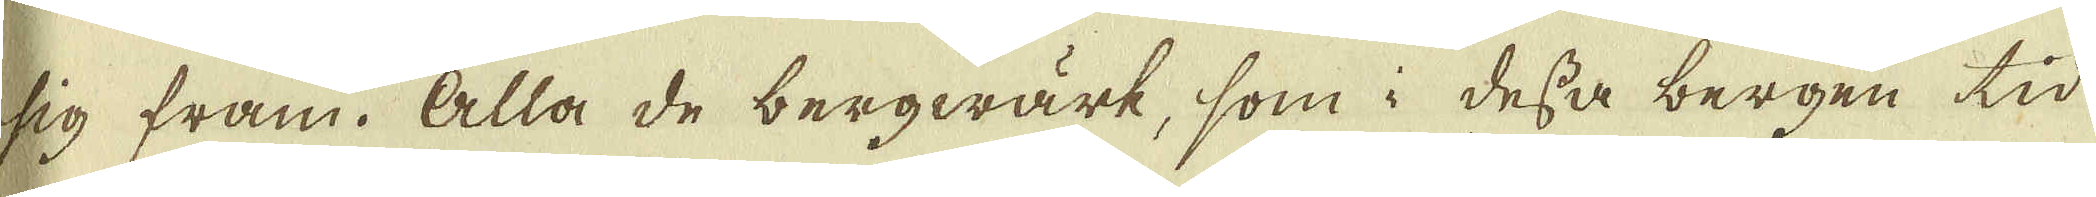sig fram. Alla de bergwärk, som i dessa bergen tid
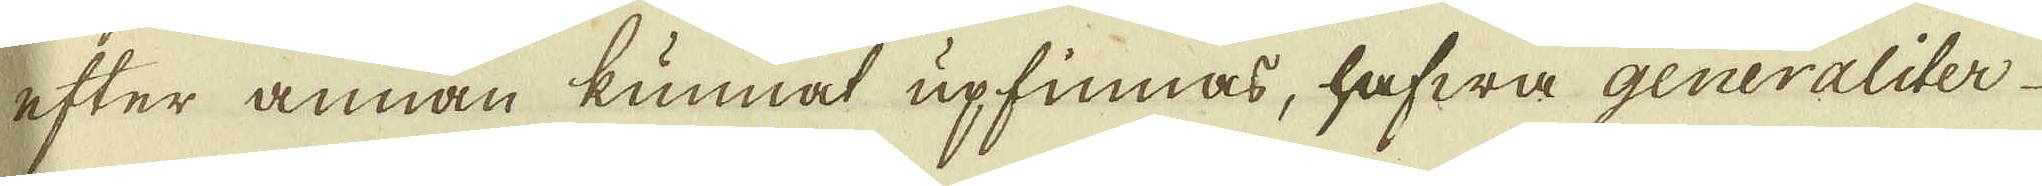efter annan kunnat upfinnas, hafwa generaliter
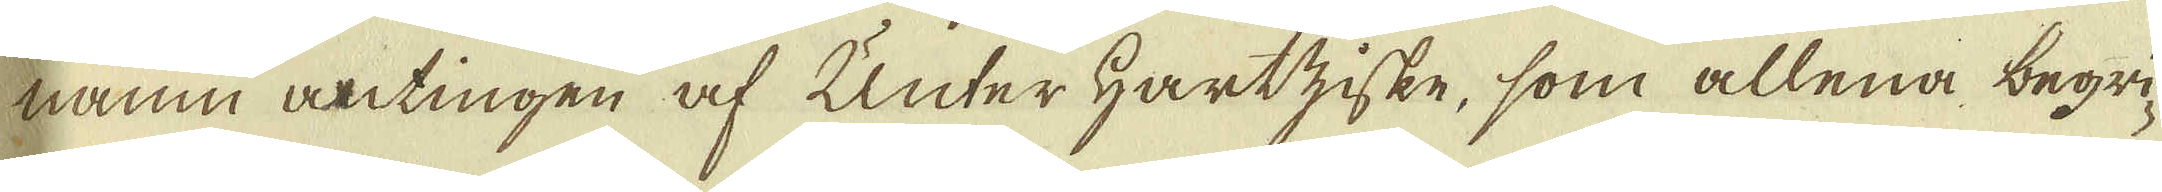namn antingen af Unter Hartziske, som allena begri-
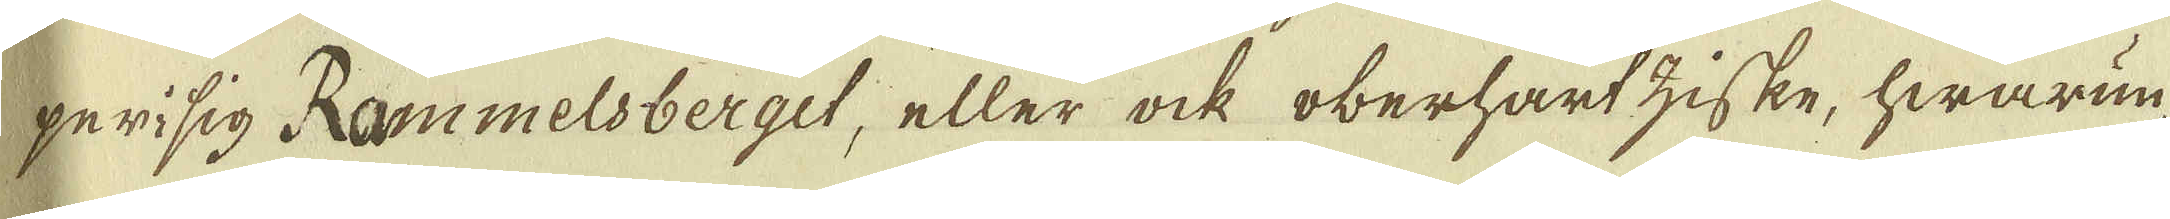per i sig Rammelsberget, eller ock oberhartziske, hwarun-
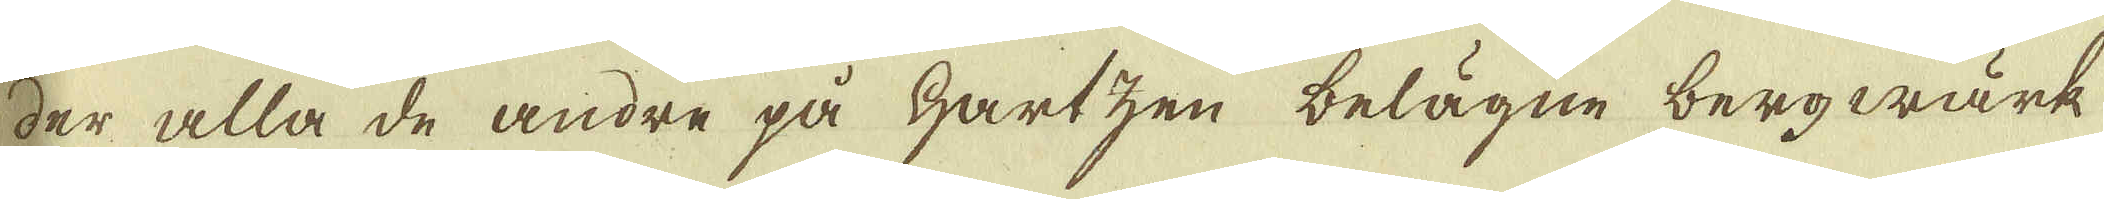der alla de andre på Hartzen belägne bergwärk
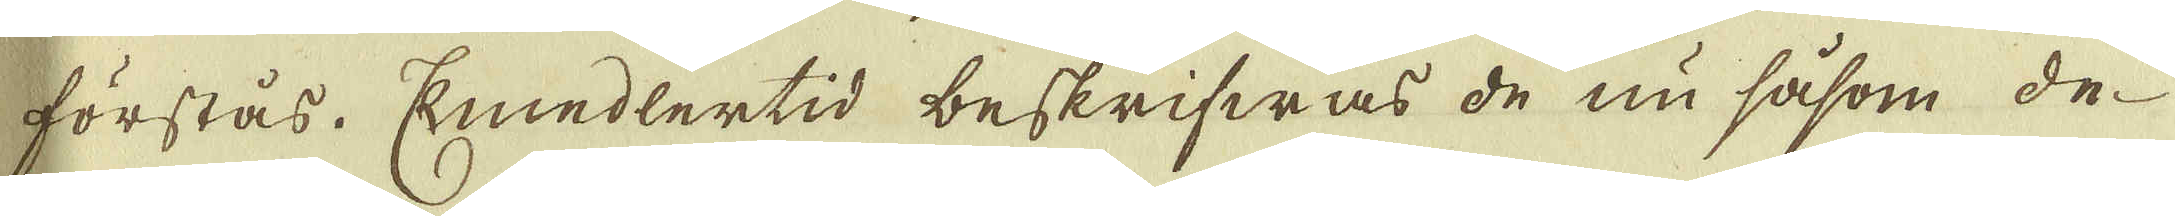förstås. Emedlertid beskrifwas de nu såsom de
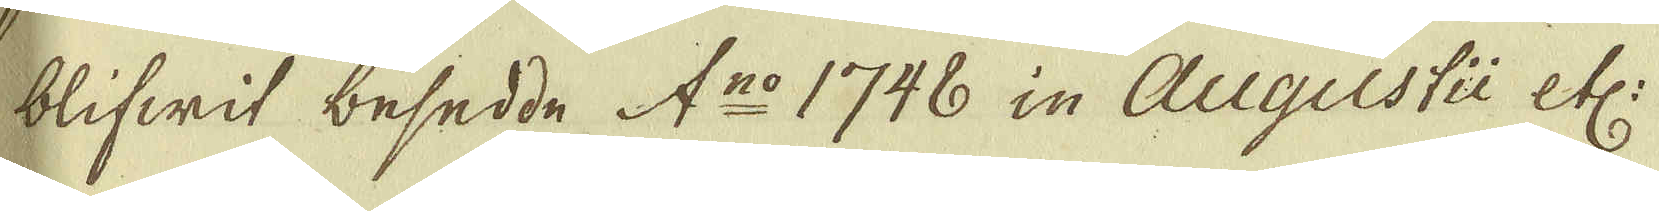blifwit besedde A:no 1748 in Augustii etc:
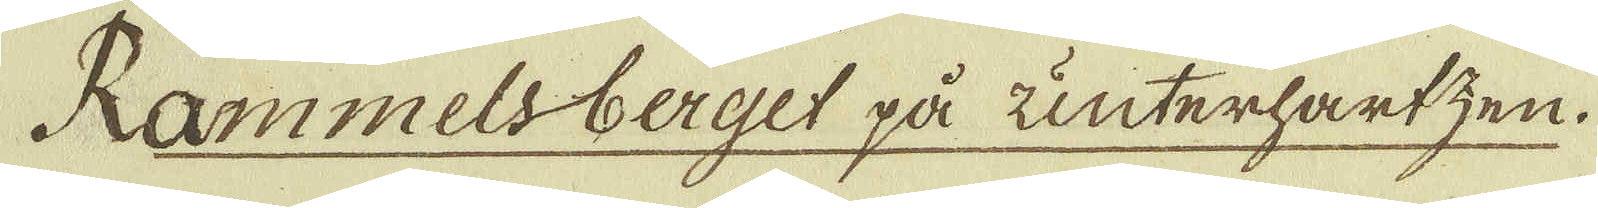Rammelsberget på unterhartzen
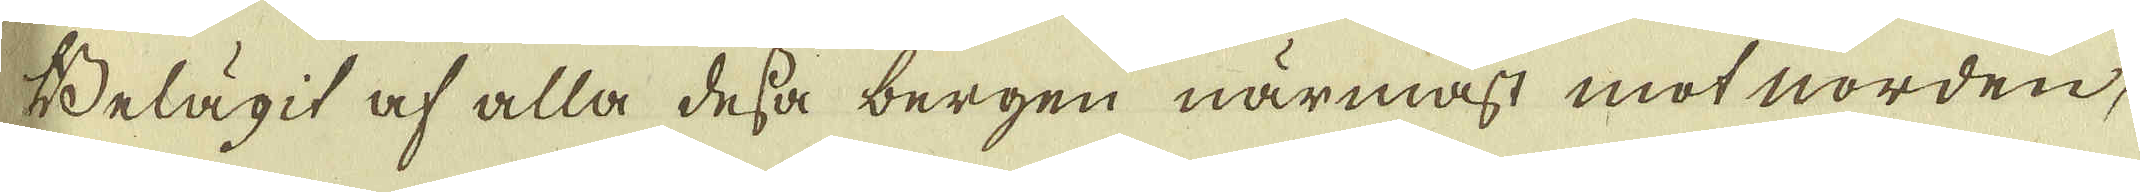Belägit af alla dessa bergen närmast mot norden,
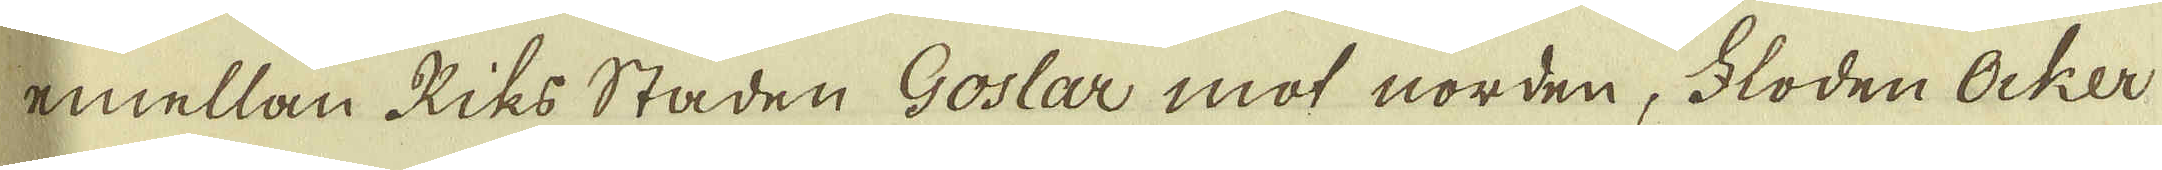emellan Riks Staden Goslar mot norden, Floden Ocker
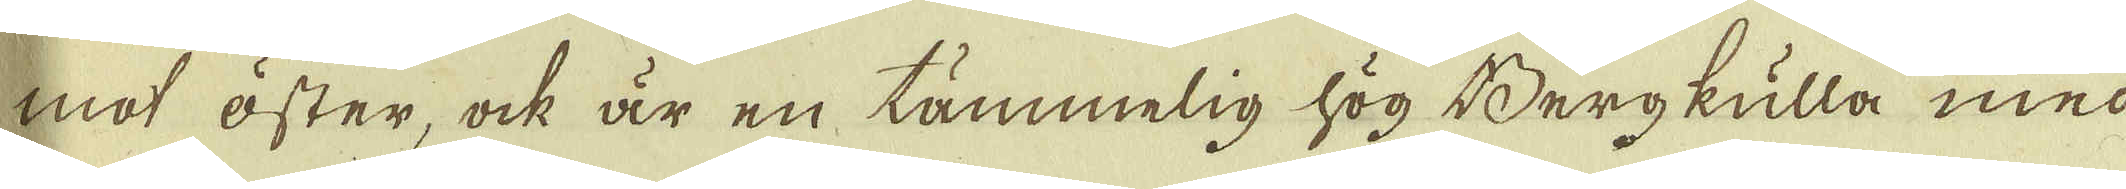mot öster, ock är en tämmelig hög Bergkulla med
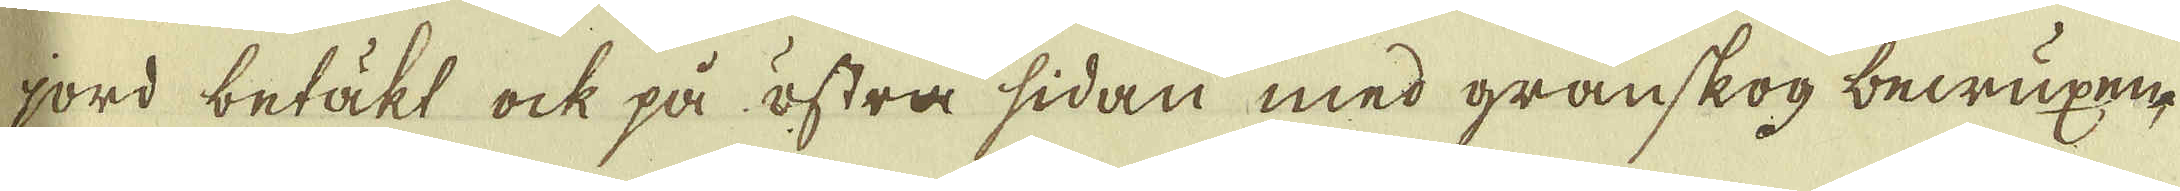jord betäkt ock på östra sidan med granskog bewuxen,
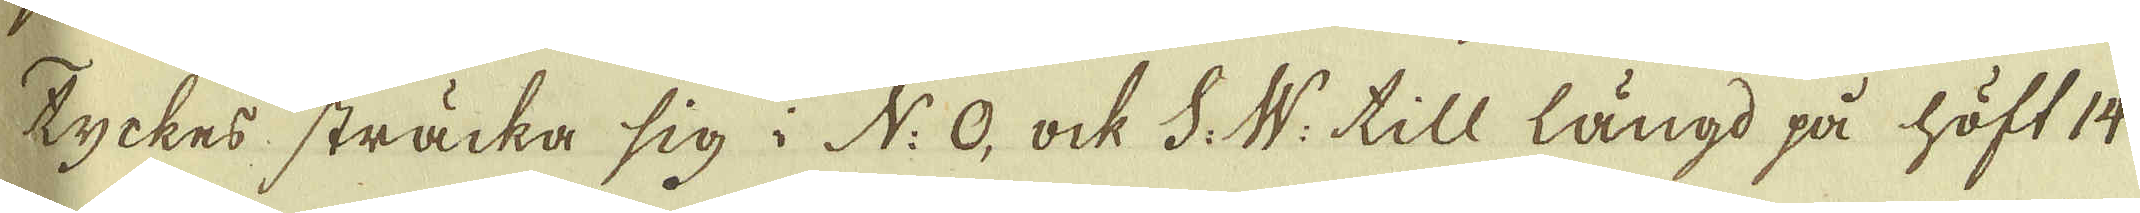tyckes sträcka sig i N: O, ock S: W: till längd på höft 14
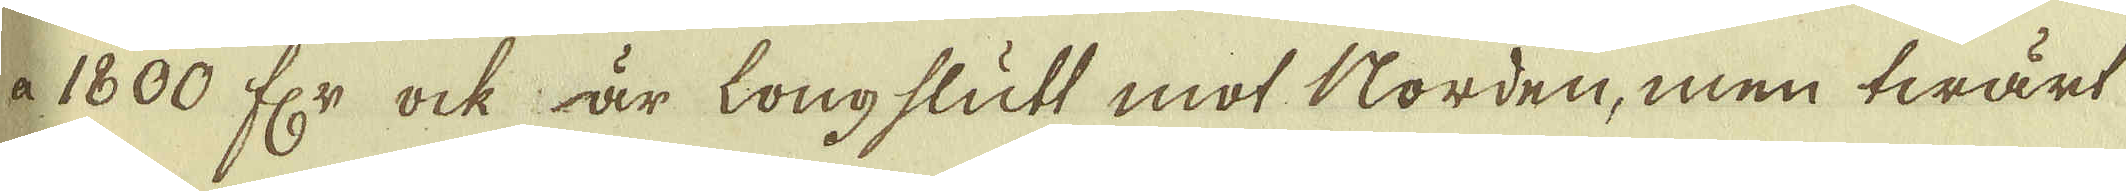a 1800 fr ock är longslutt mot Norden, men twärt
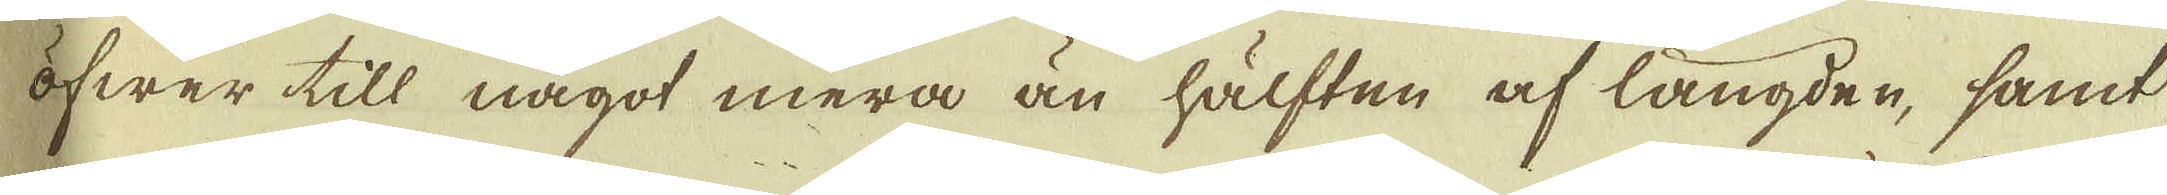öfwer till något mera än hälften af längden, samt
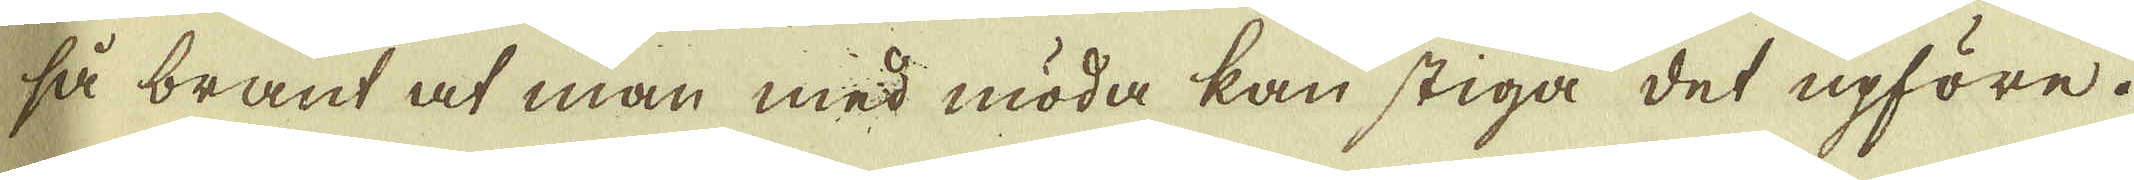så brant at man med möda kan stiga det upföre.
